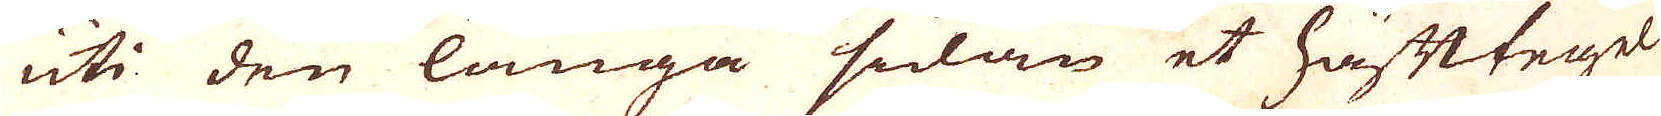uti den långa sidan et häfttegel
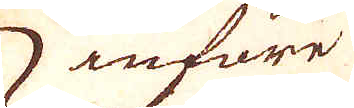införe
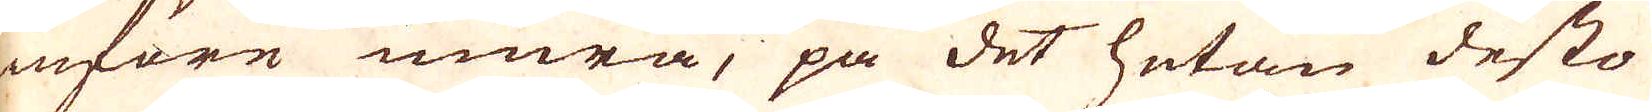införe mura, på det hetan desto
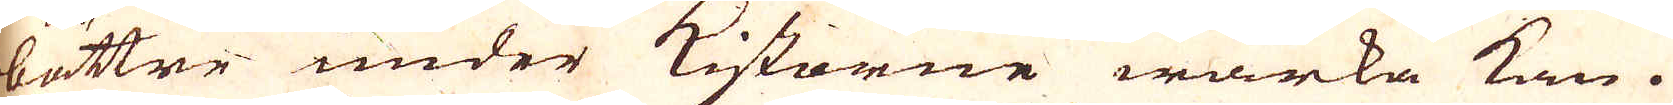bättre under Kistorne wärka kan.
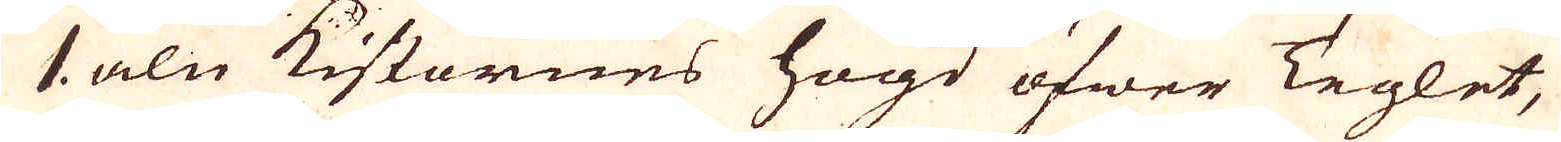1 aln Kistornes högd öfwer Teglet,
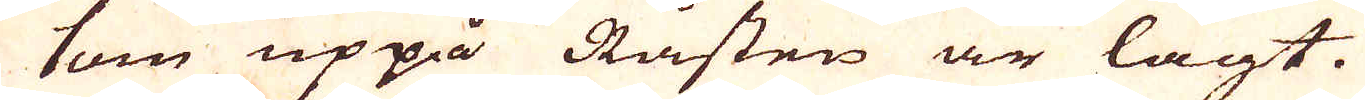som uppå Råsten är lagt.
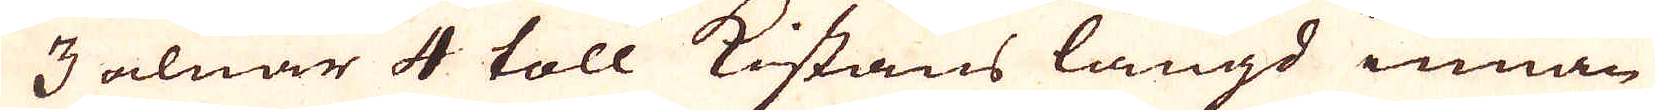3 alnar 4 toll Kistans längd innan
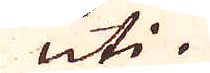uti.
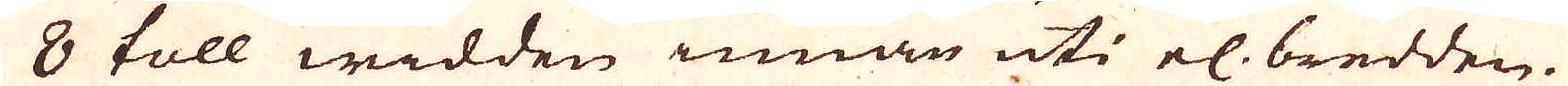8 toll widden innan uti el: bredden.
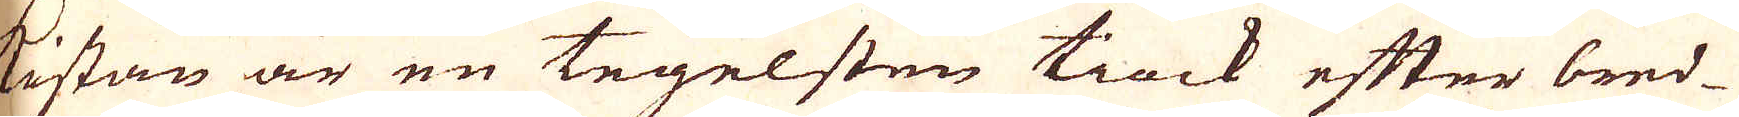Kistan är en tegelsten tiock efter bred-
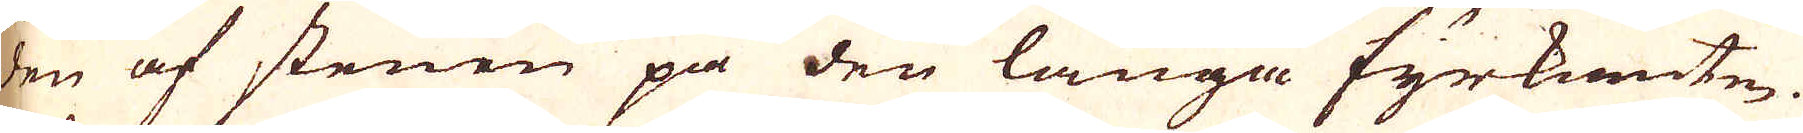den af stenen på den långa fyrkanten.
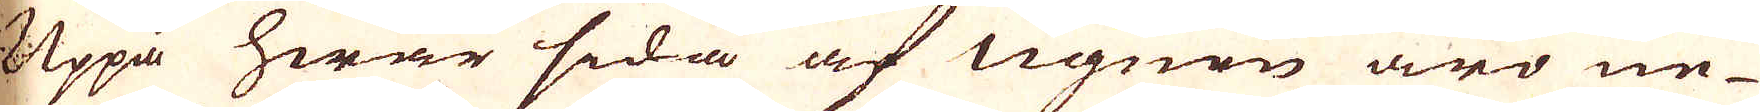Uppå hwar sida af ugnen äro ne-
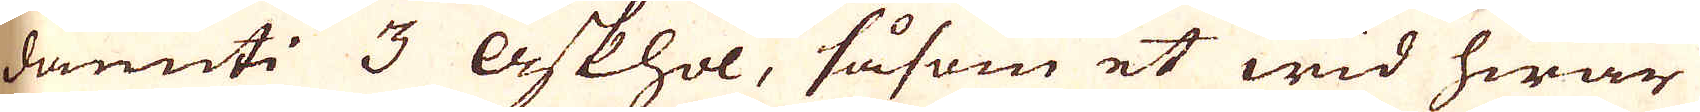danuti 3 Askhol, såsom et wid hwar
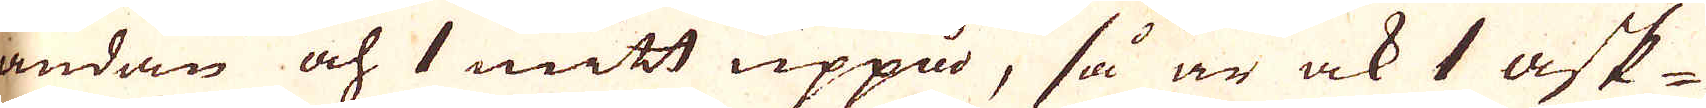ändan och 1 mitt uppå, så är ock 1 ask-
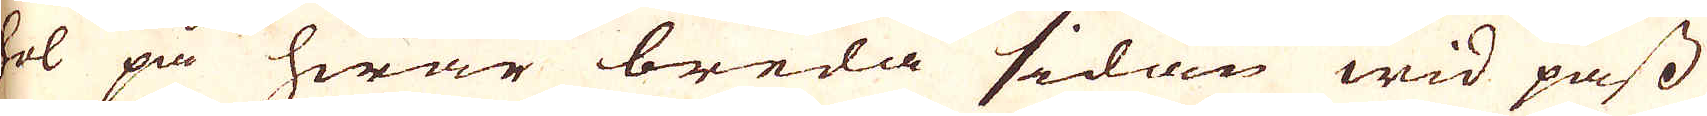hol på hwar breda sidan wid pass
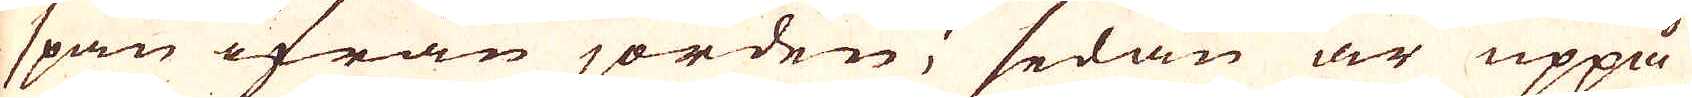1/2 span ifrån jorden, sedan är uppå
